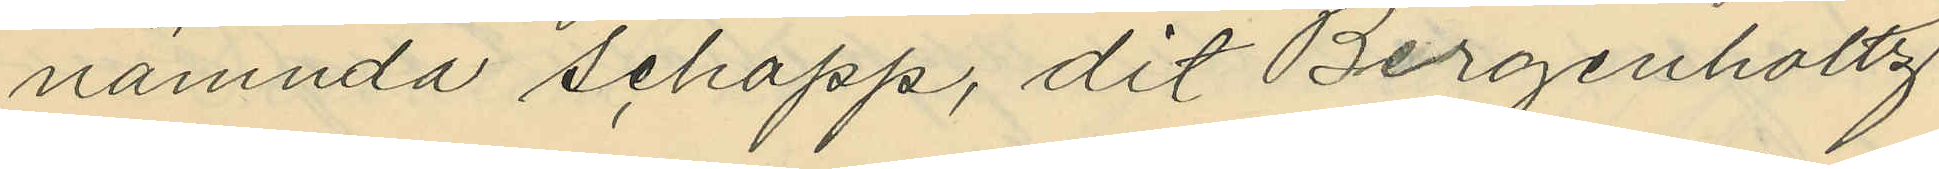nämnda schapp, dit Bergenhollz
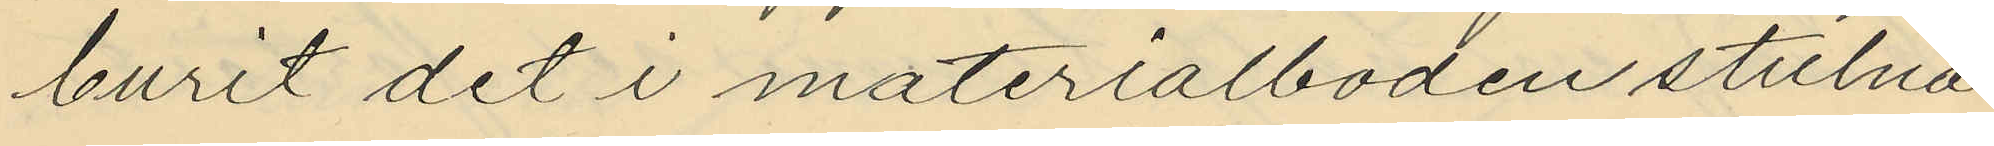burit det i materialboden stulna
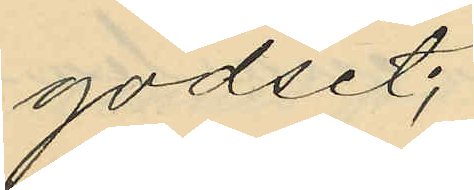godset;
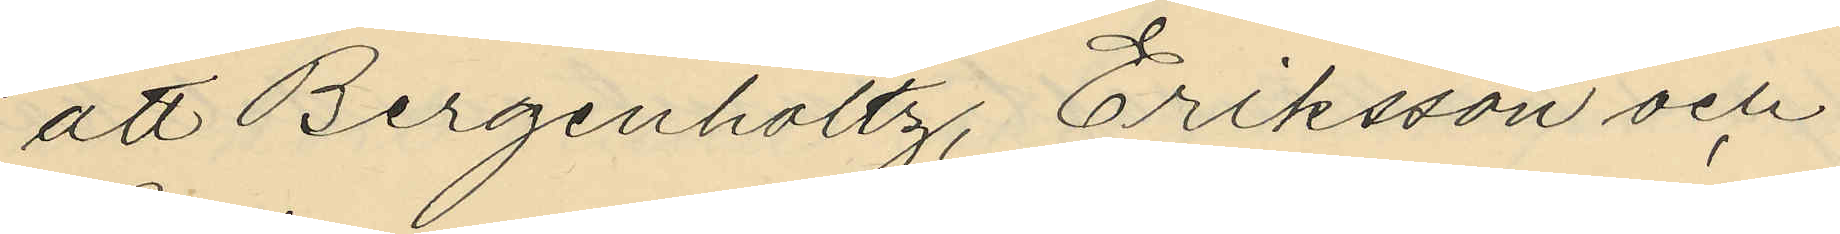att Bergenholtz, Eriksson och
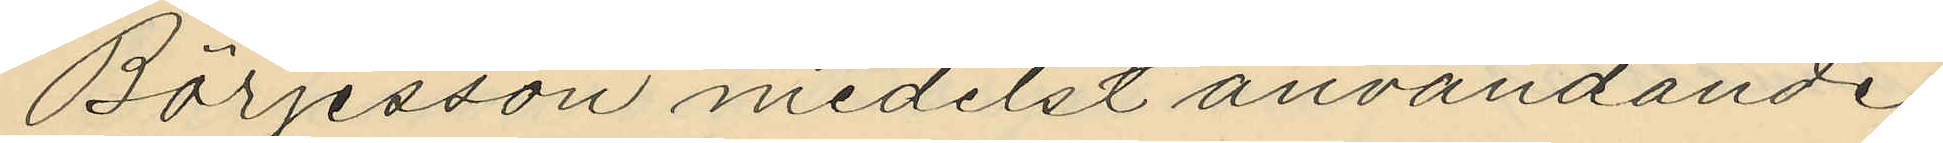Börjesson medelst användande
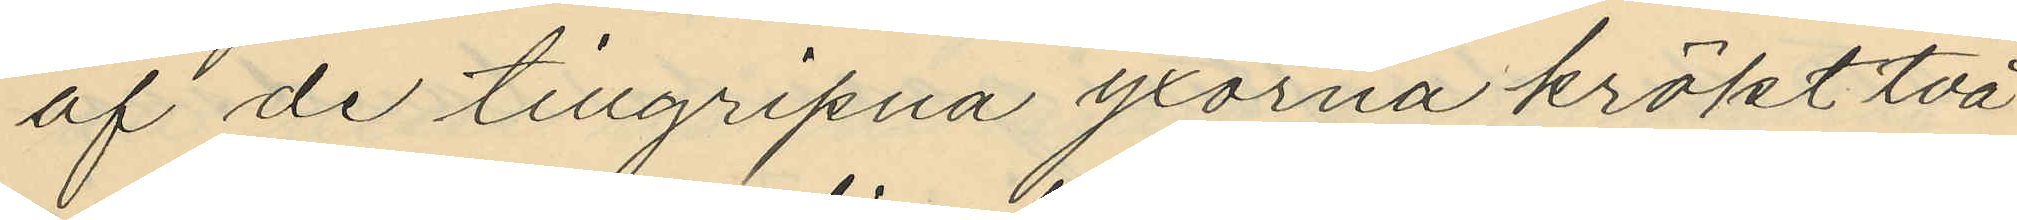af de tillgripna yxorna krökt två
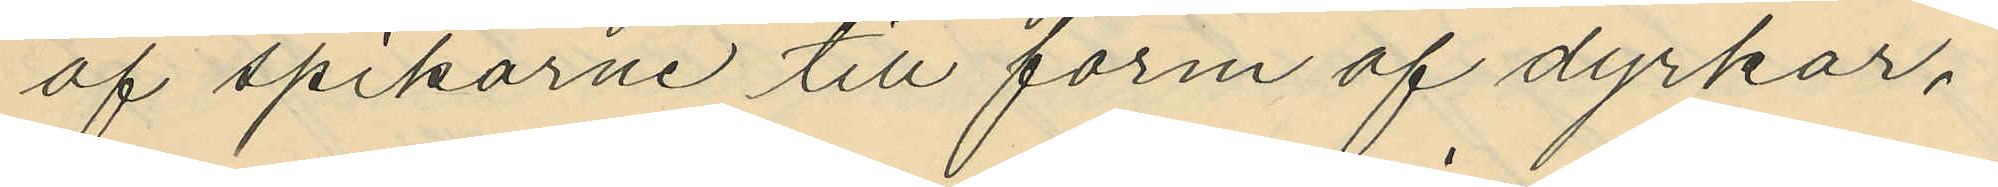af spikarne till form af dyrkor,
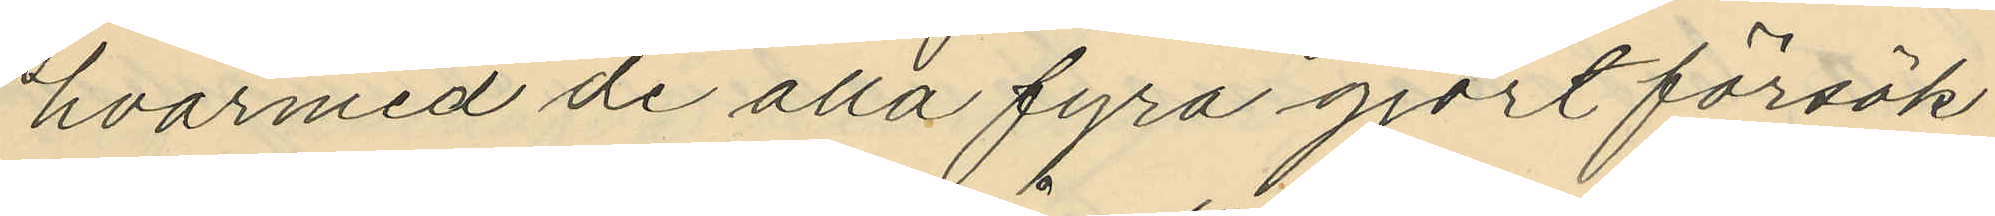hvarmed de alla fyra gjort försök
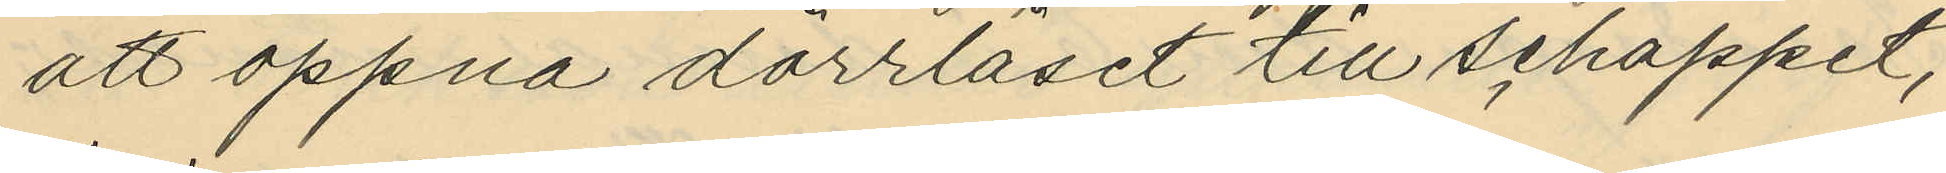att öppna dörrlåset till schappet,
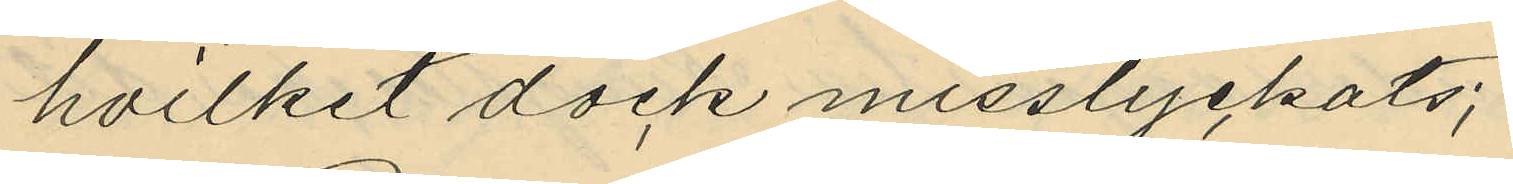hvilket dock misslyckats;
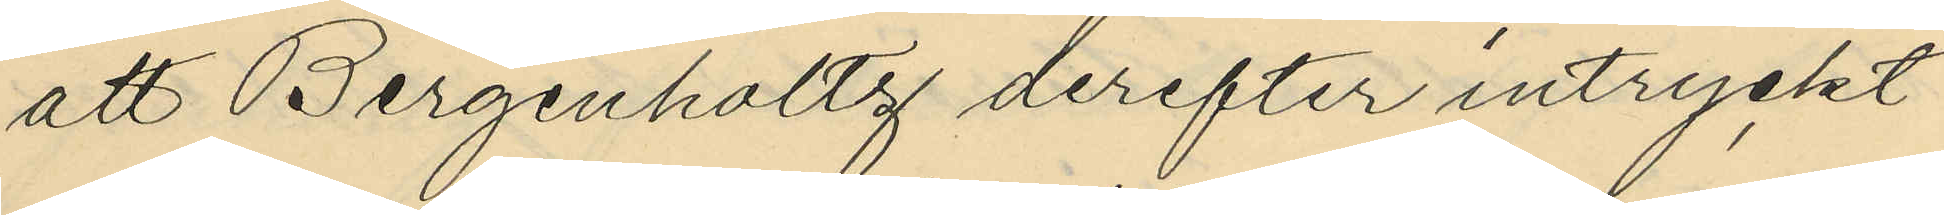att Bergenhaltg derefter intryckt
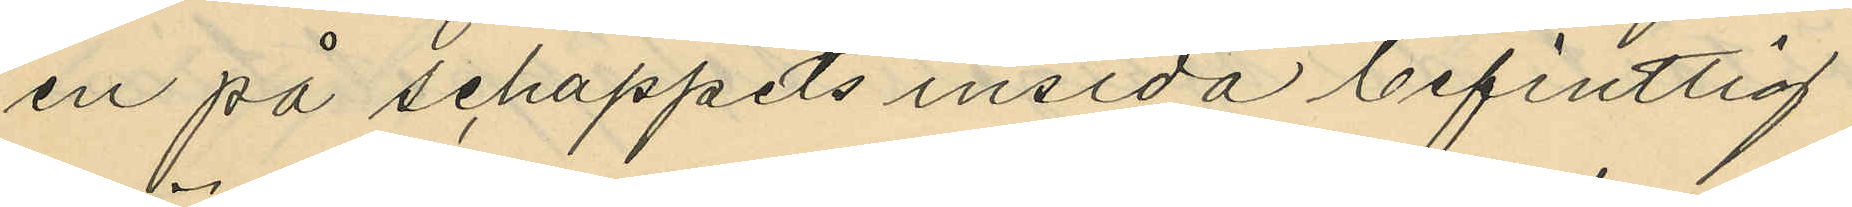en på schappets insida befintlig
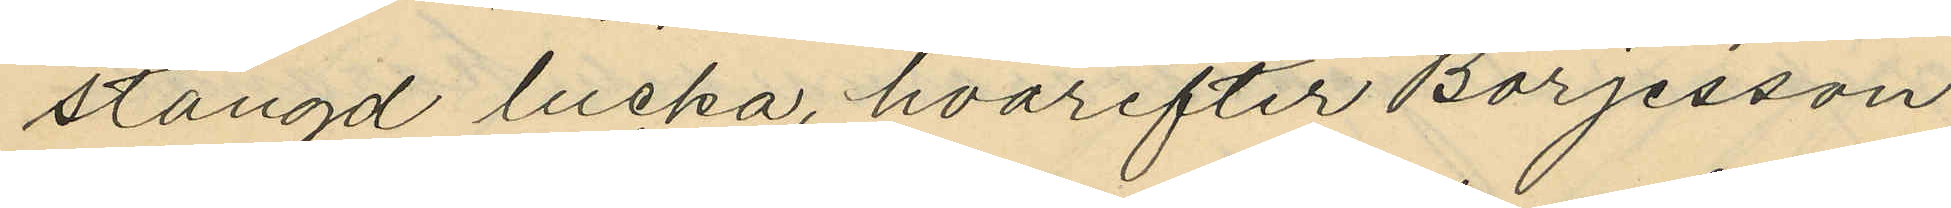stängd lucka, hvarefter Börjesson
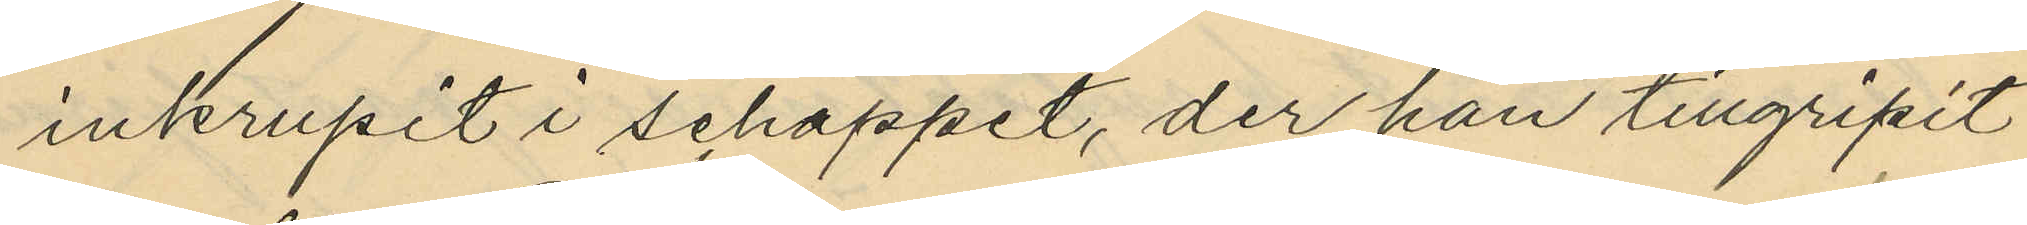inkrupit i schappet, der han tillgripit
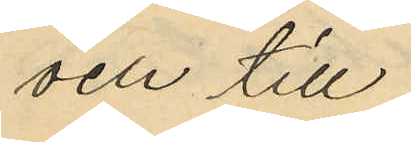och till
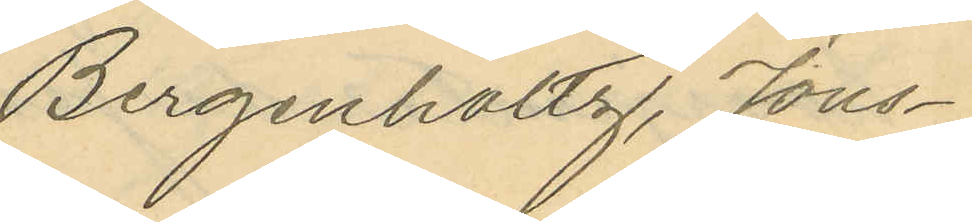Bergenholtz, Jons¬
